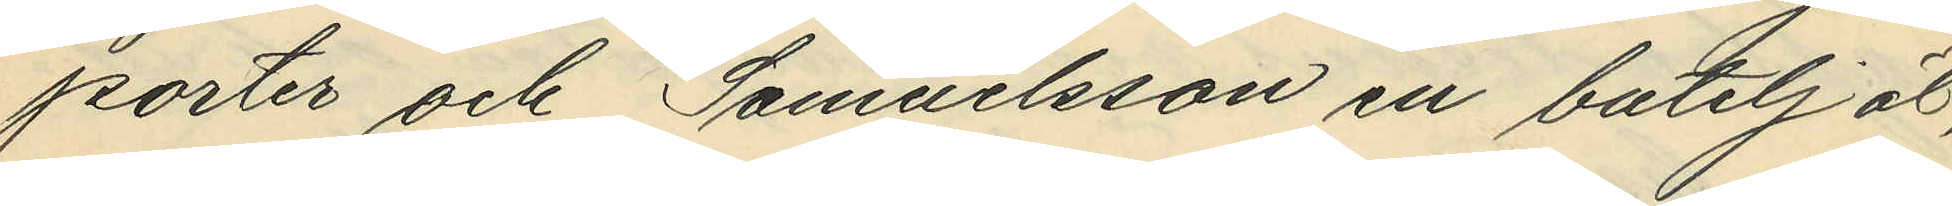porter och Samuelsson en butelj öl,
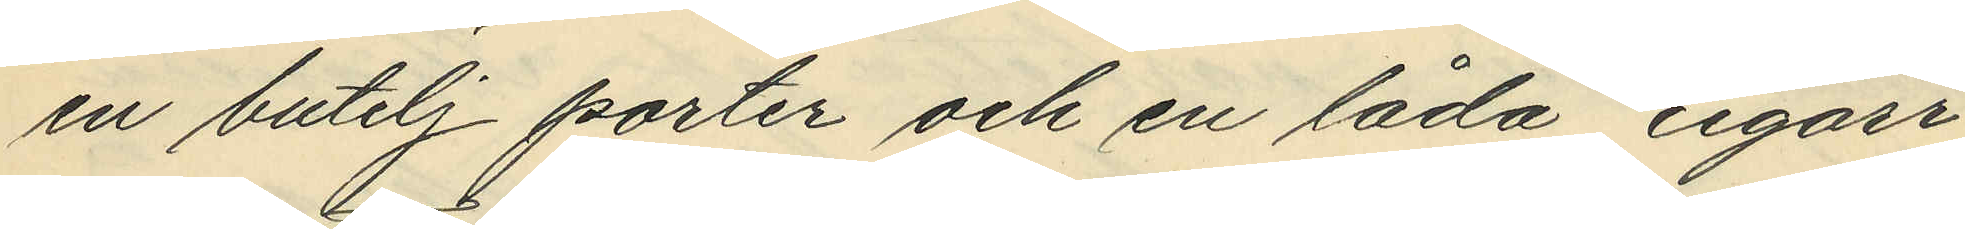en butelj porter och en låda cigarr¬
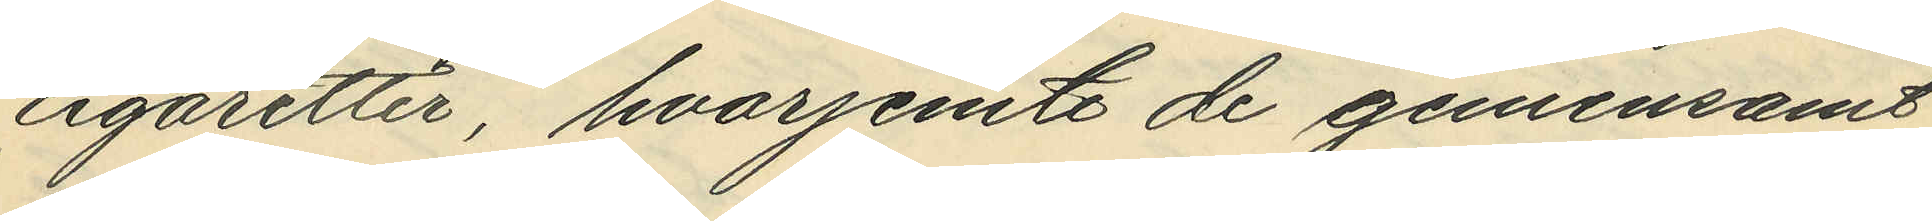cigaretter, hvarjemte de gemensamt
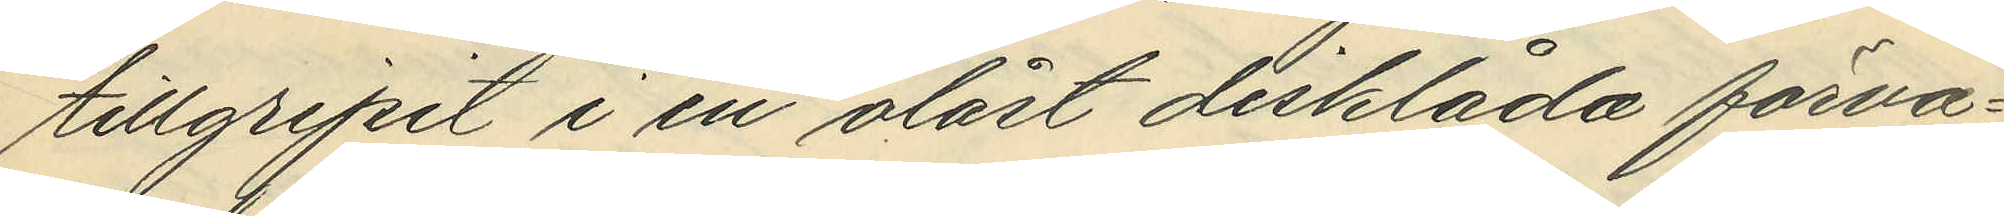tillgripit i en olåst disklåda förva¬
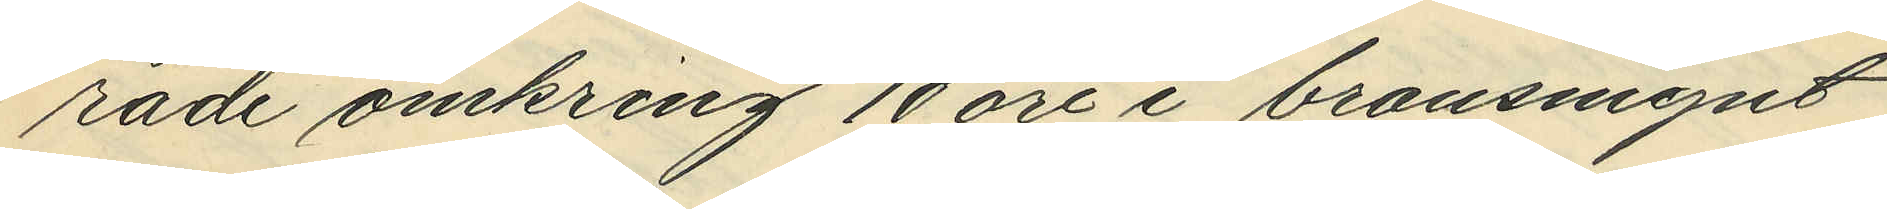rade omkring 10 öre i bronsmynt
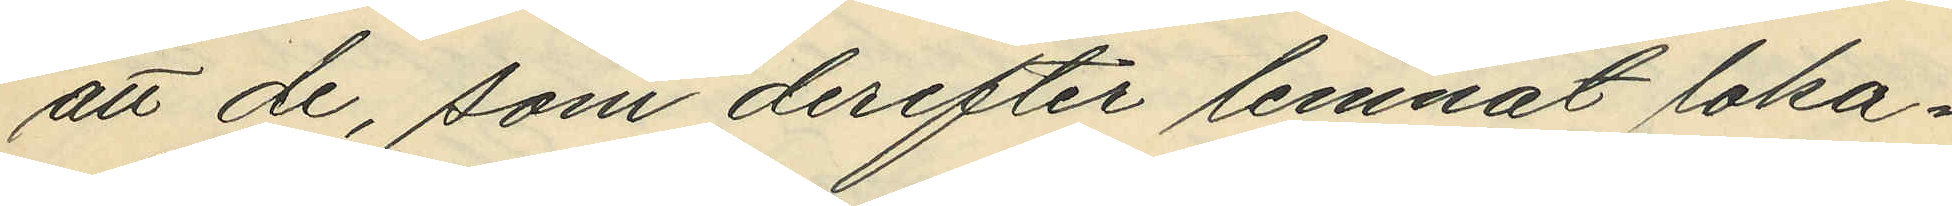att de, som derefter lemnat loka¬
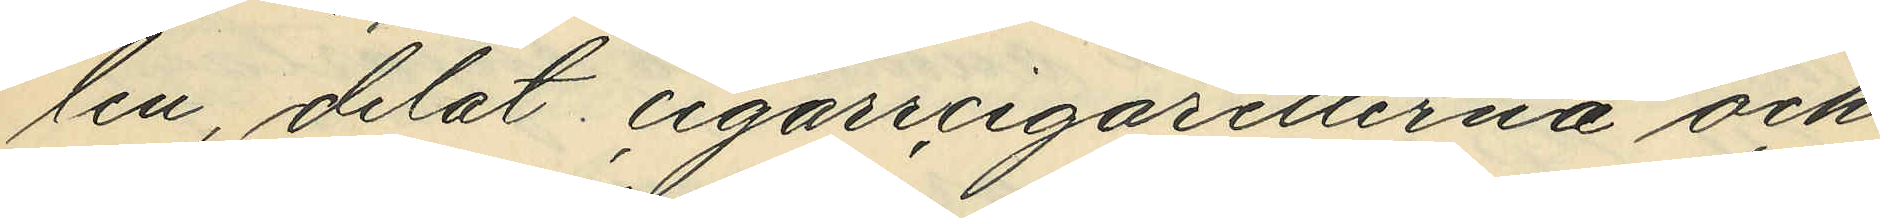len, delat cigarrcigaretterna och
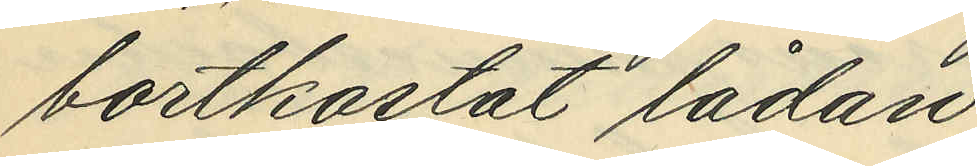bortkastat lådan;
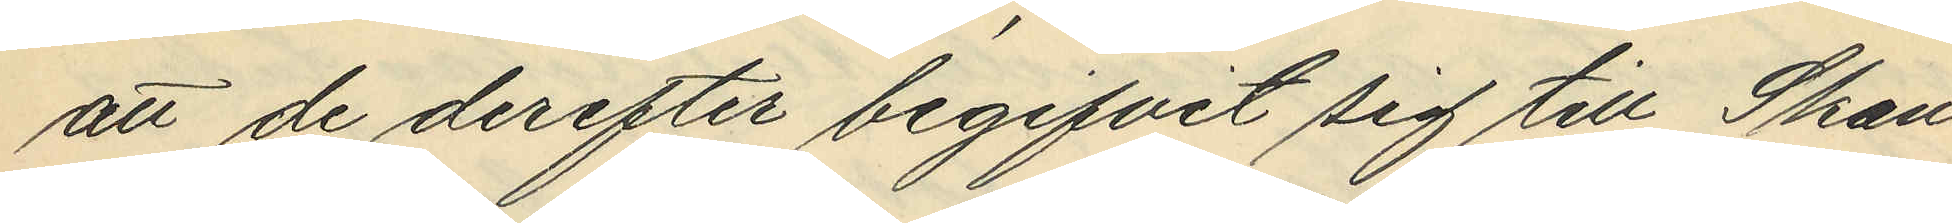att de derefter begifvit sig till Skan¬
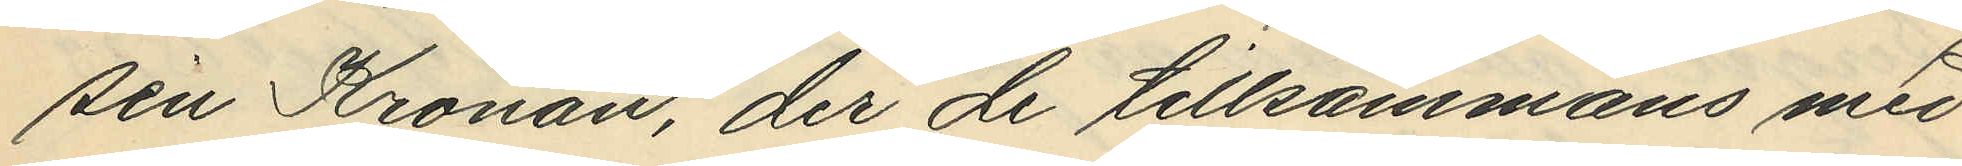sen Kronan, der de tillsammans med
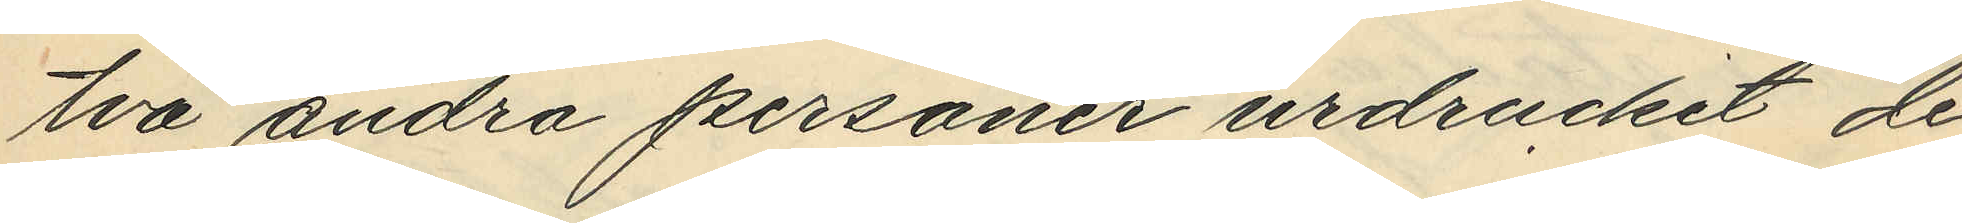två andra personer urdruckit de
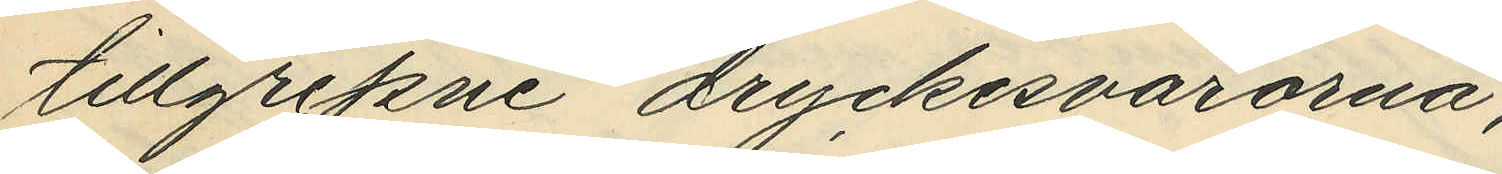tillgripne dryckesvarorna,
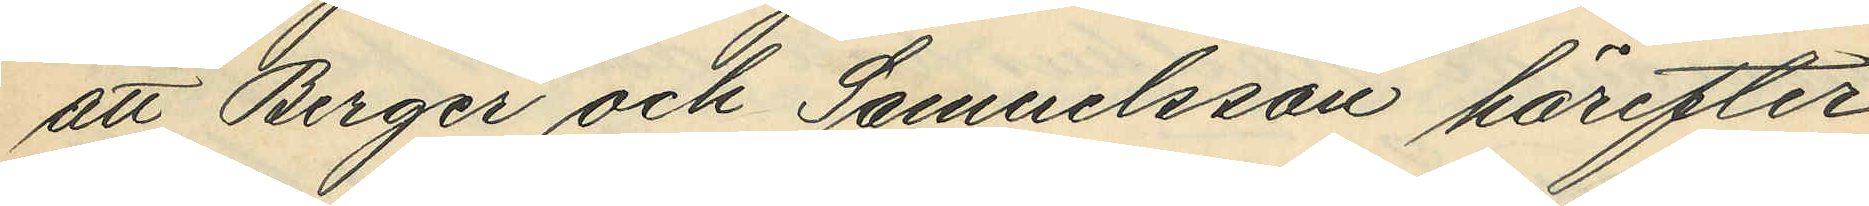att Berger och Samuelsson härefter
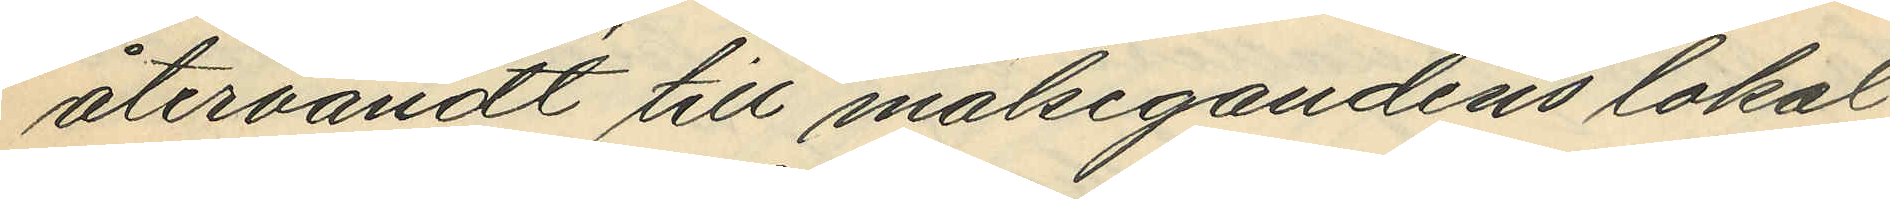återvändt till målsegandens lokal
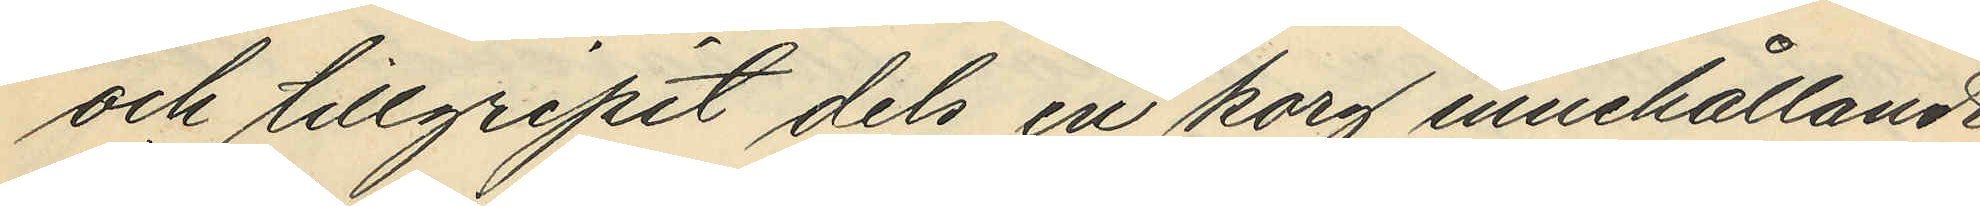och tillgripit dels en korg innehållande
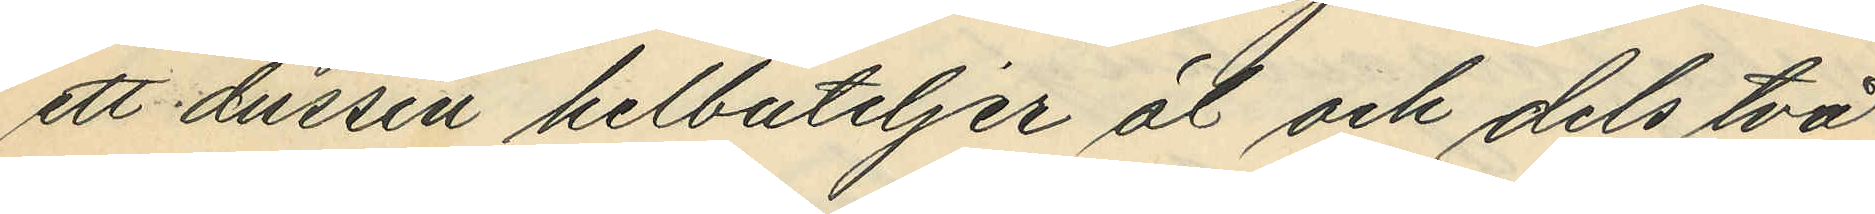ett dussin helbuteljer öl och dels två
